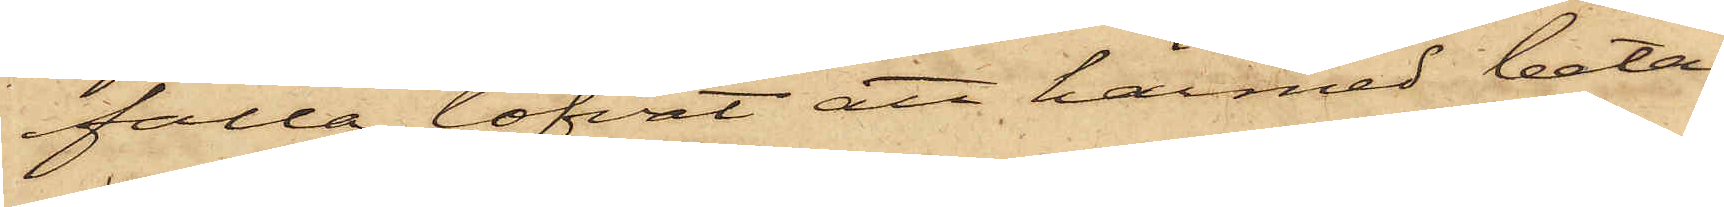falla, lofvat att härmed beta¬
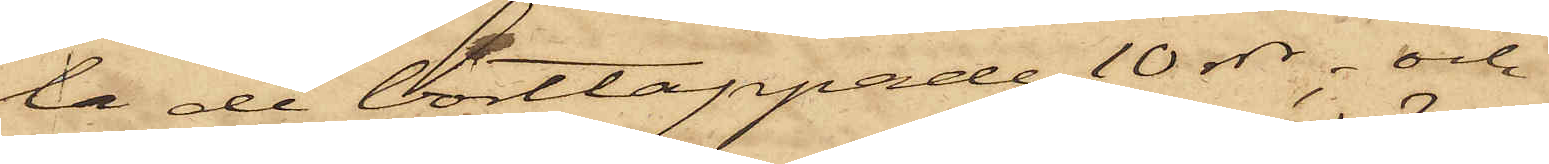la de borttappade 10 rdr; och
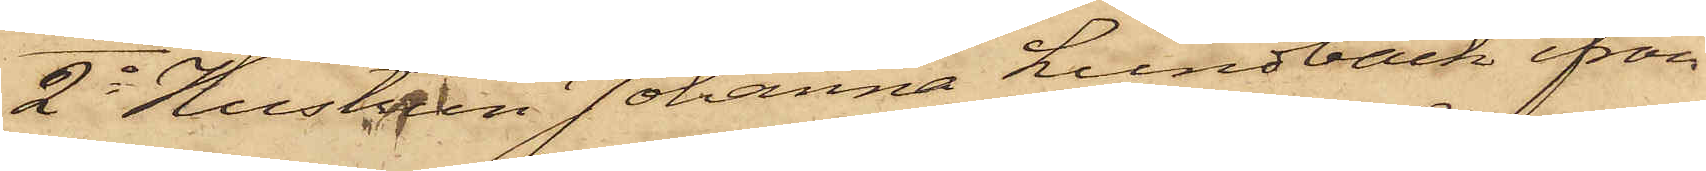2o Hustrun Johanna Lundbäck ifrån
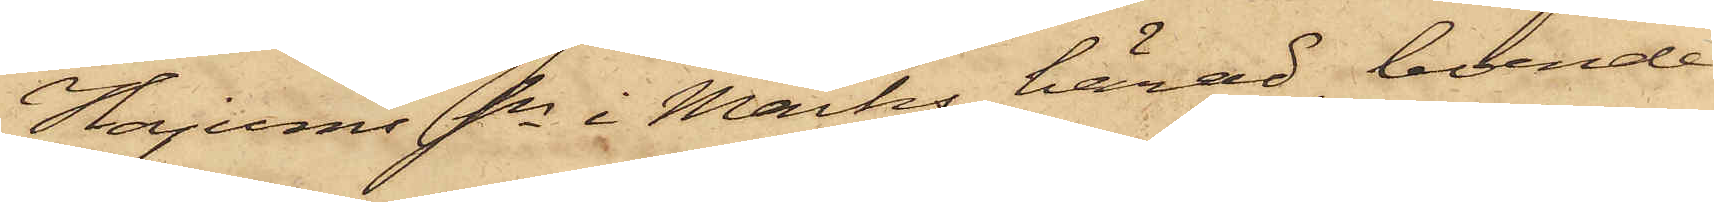Hajums Sn i Marks härad, boende
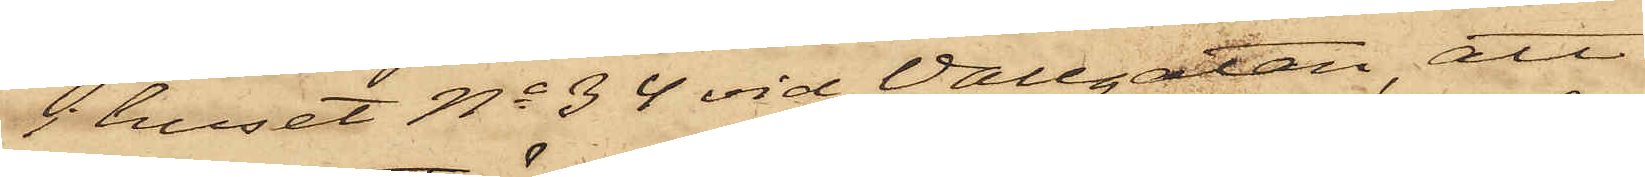i huset No 34 vid Vallgatan, att
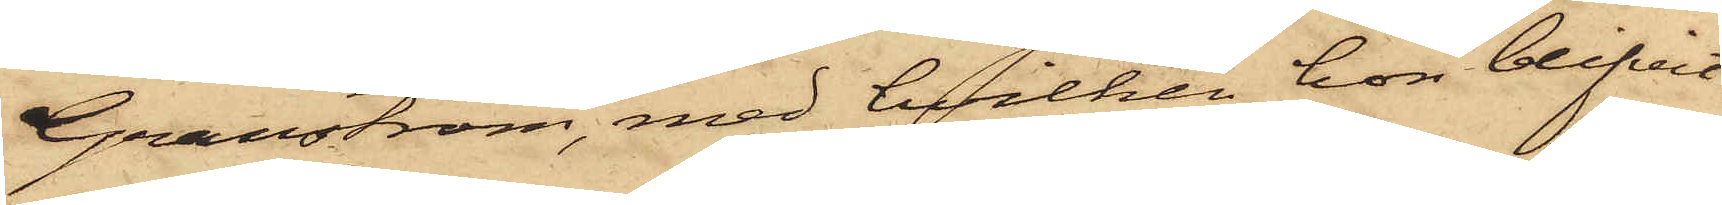Granström, med hvilken hon blifvit
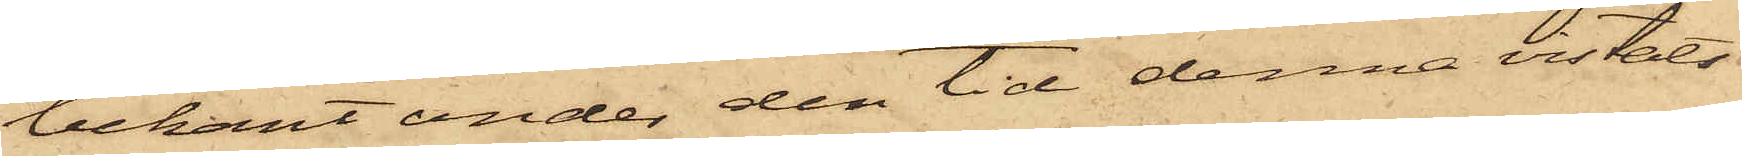bekant under den tid denna vistats
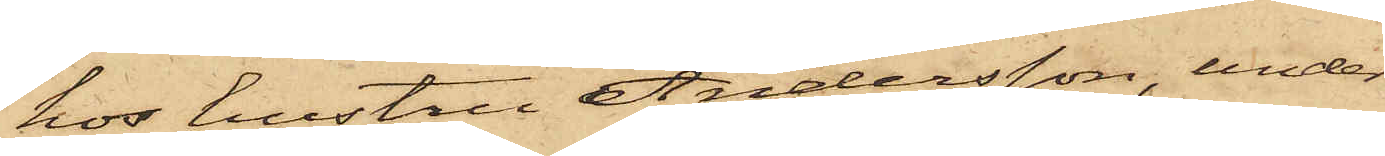hos hustru Andersson, under
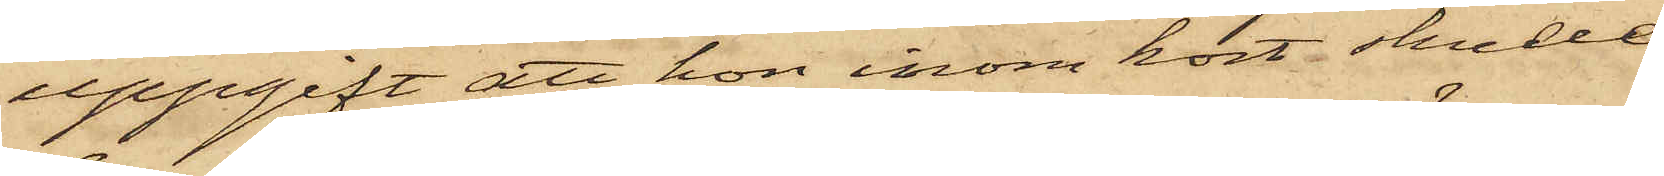uppgift att hon inom kort skulle
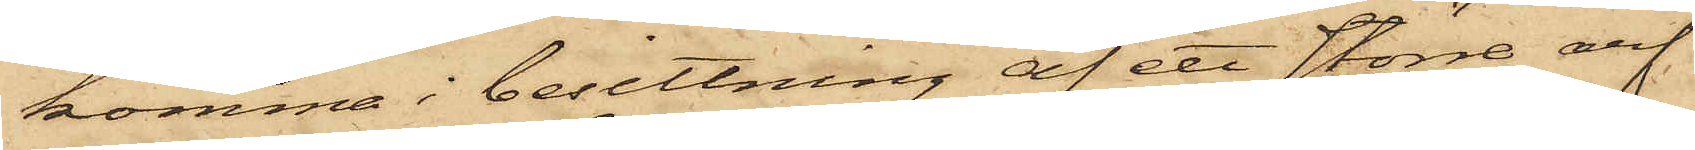komma i besittning af ett större arf
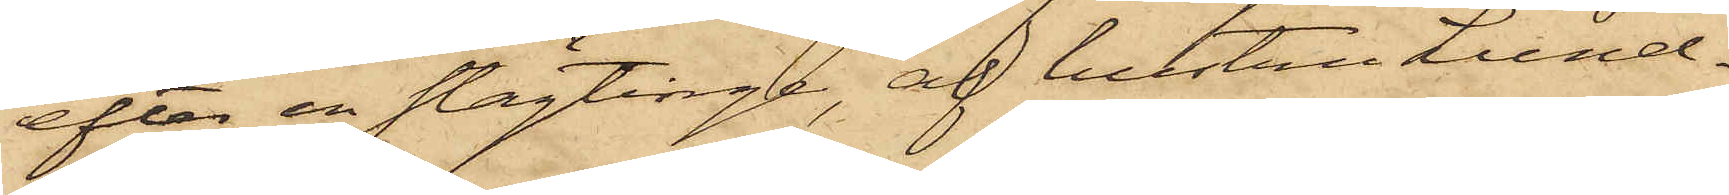efter en slägtinge, af hustru Lund¬
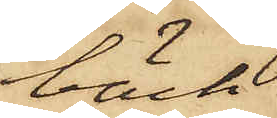bäck
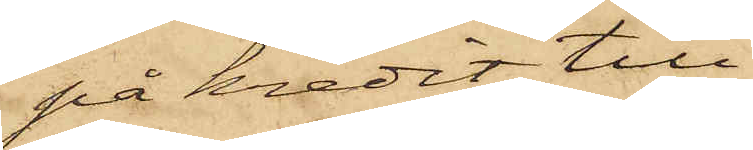på kredit till¬
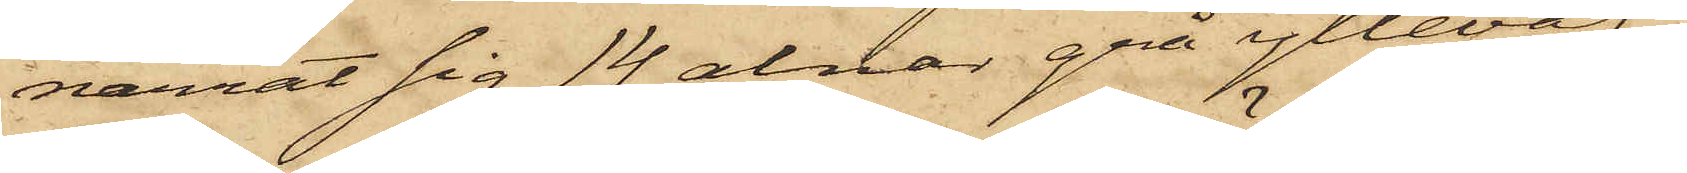narrat sig 14 alnar grå ylleväf,
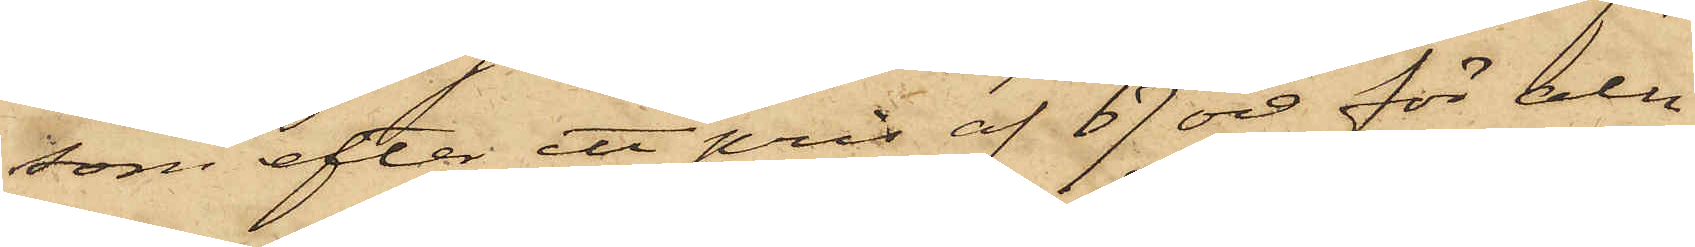som efter ett pris af 67 öre för aln
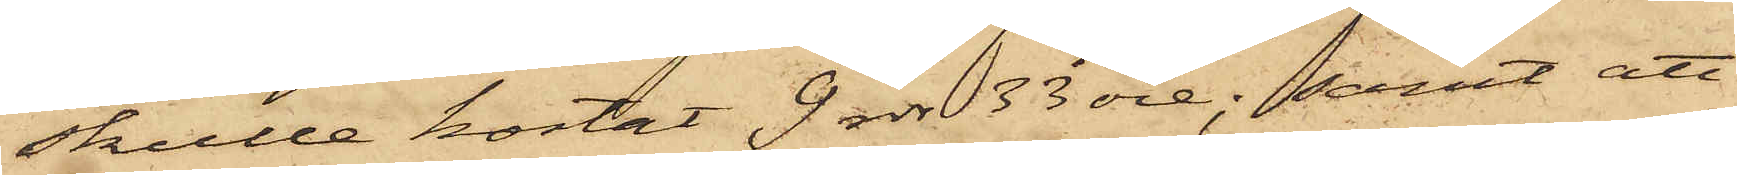skulle kostat 9rdr 33 öre; samt att
